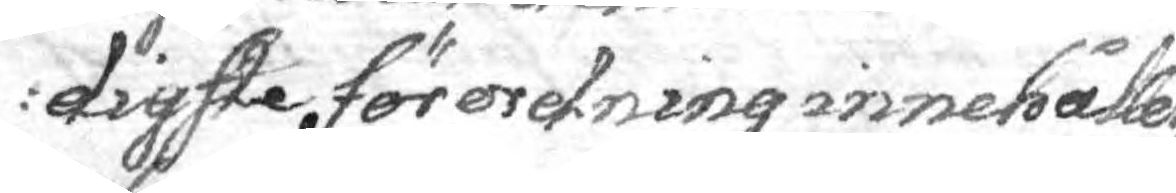digste förordning innehåller,
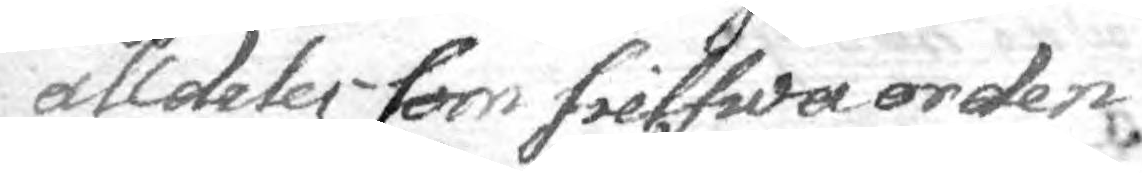alldeles som sielfwa orden
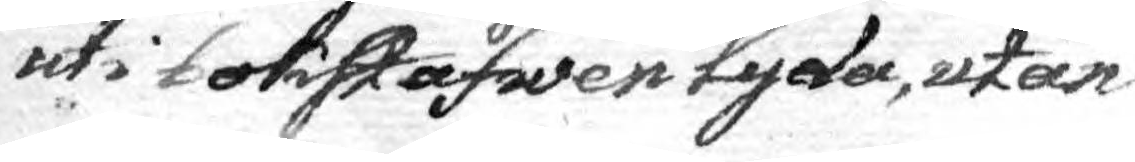uti bokstafwen lyda, utan
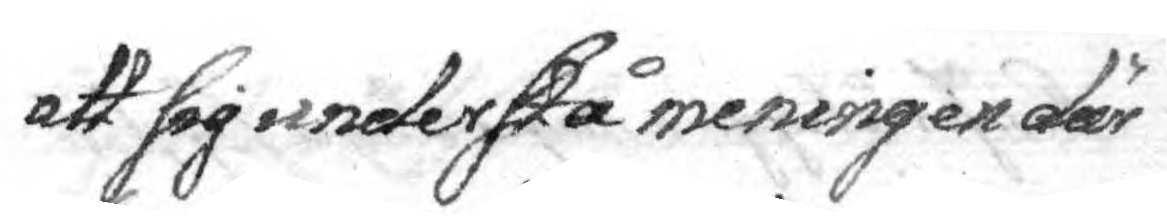att sig understå meningen där
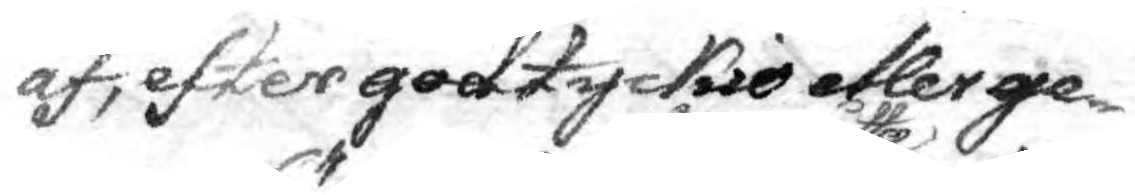af, efter godtyckio efler ge¬
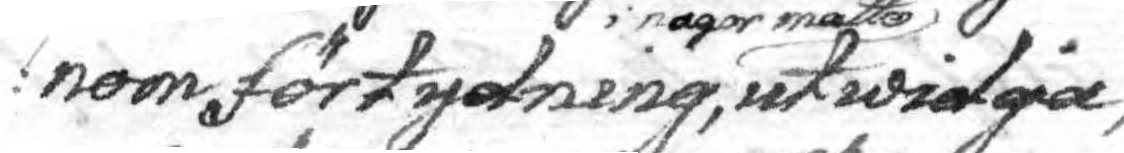nom förtydning i någor måtto utwidgia,
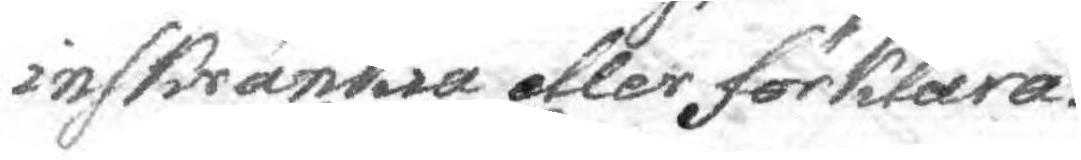inskränkia eller förklara.
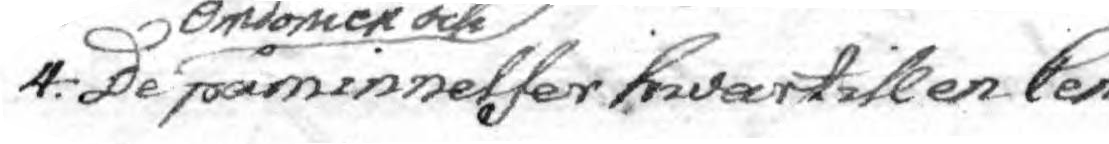4: De omdömen och påminnelser hwartill en Cen¬
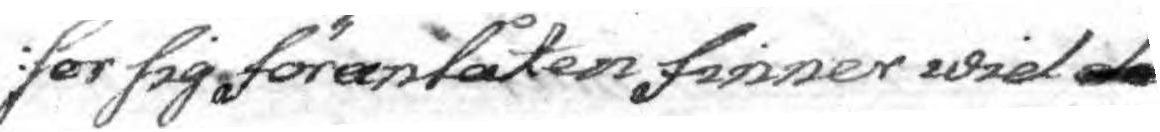sor sig föranlåten finner wid de
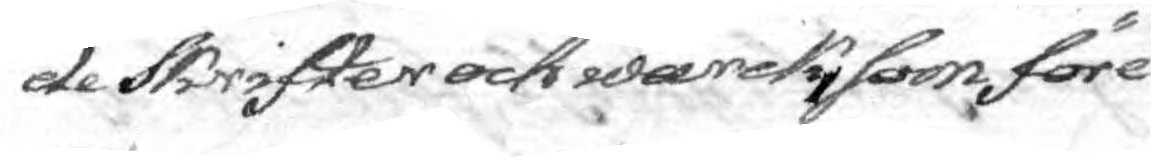de Skrifter och wärck, som före¬
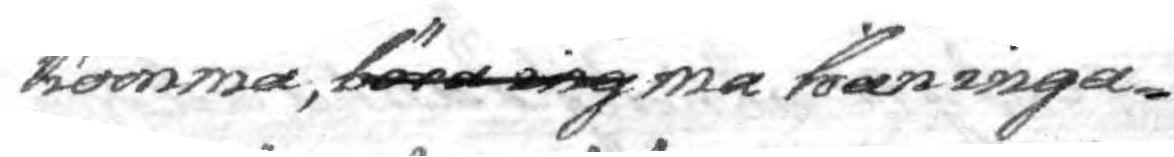komma, böra ing må han inga¬
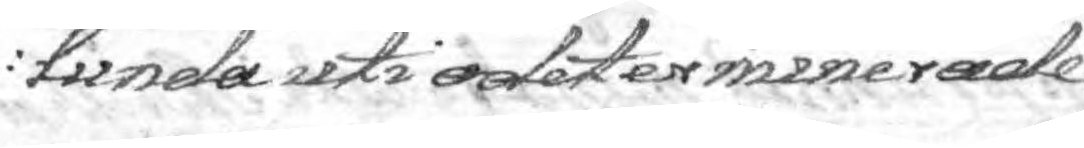lunda uti odeterminerade
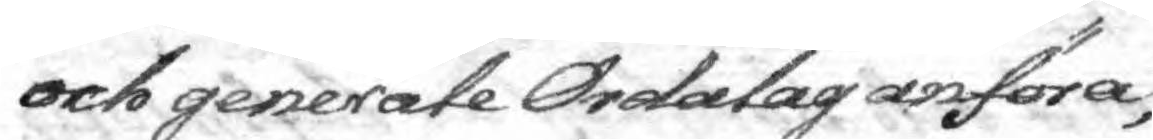och generale Ordalag anföra,
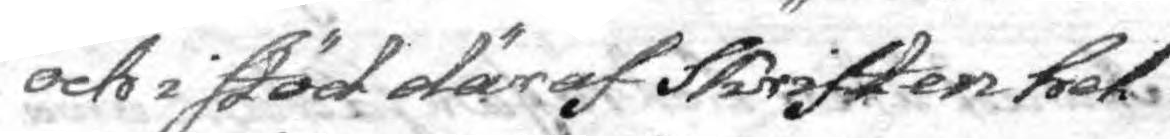och i stöd däraf Skriften hel
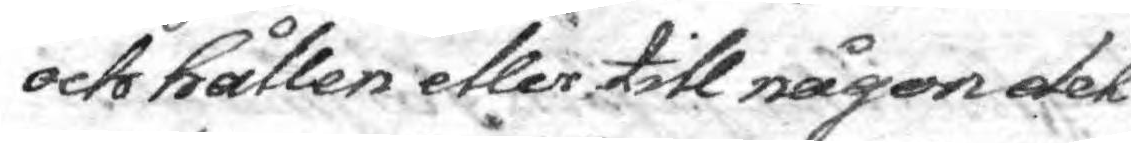och hållen eller till någon del
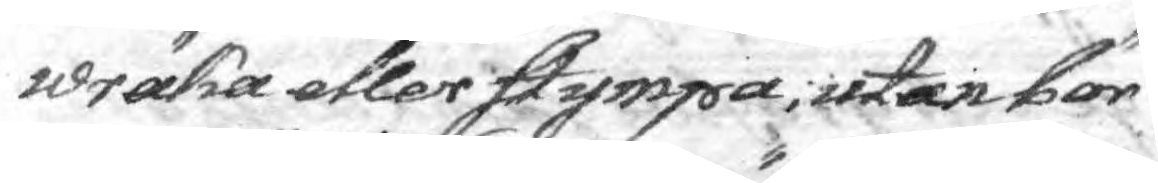wräka eller stympa, utan bör
